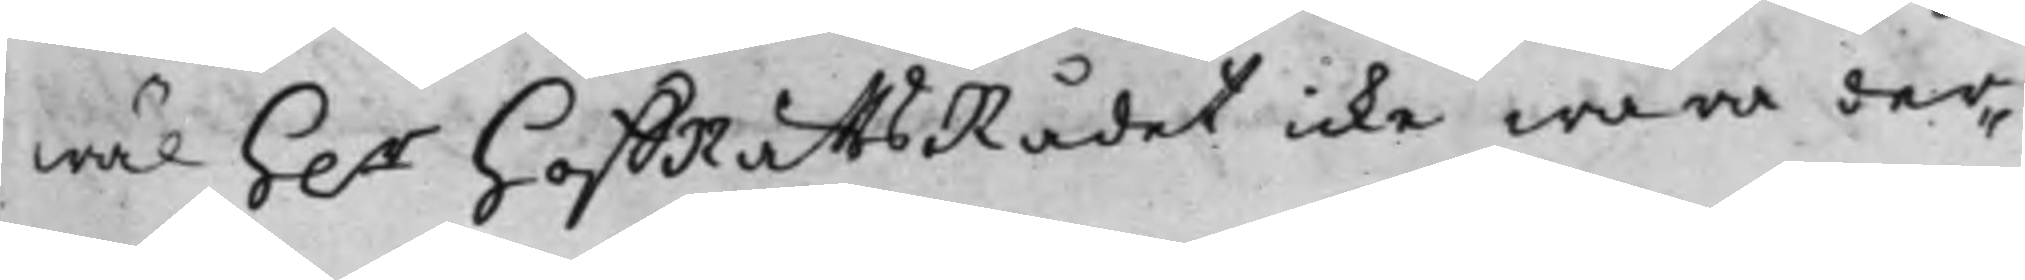wäl h.r HoffRättsRådet icke wara der¬
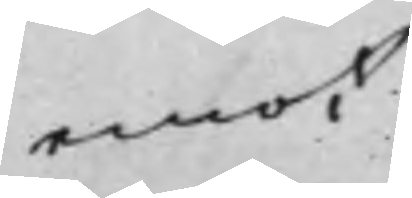emot
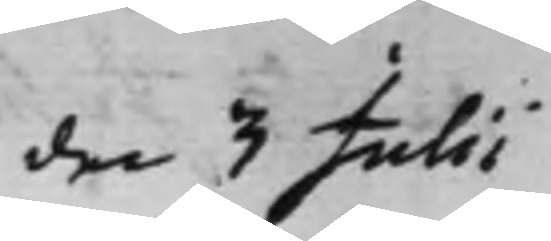den 3 Julii
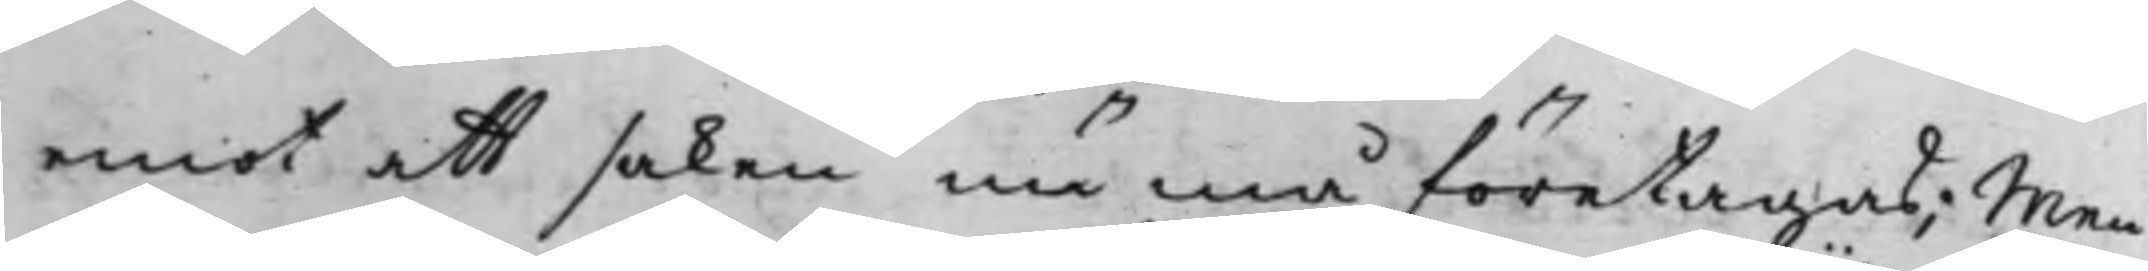emot att saken nu må företagas; Men
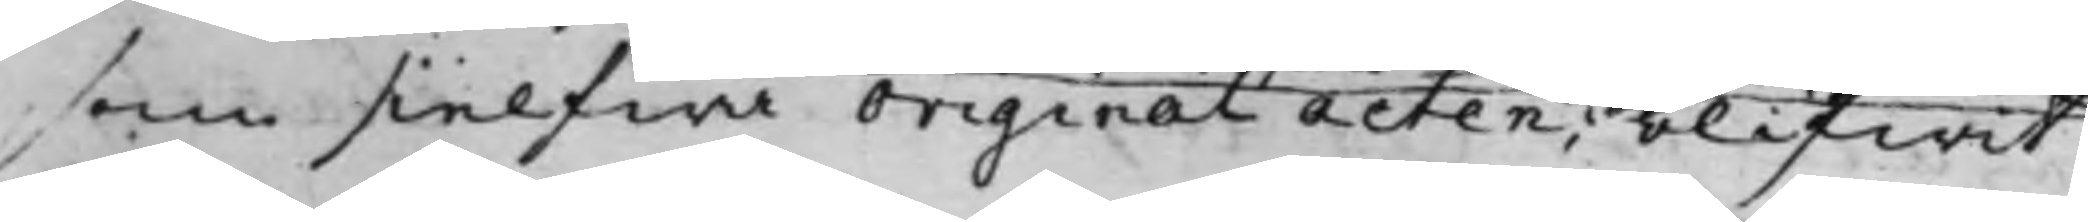som sielfwa originalacten; blifwit
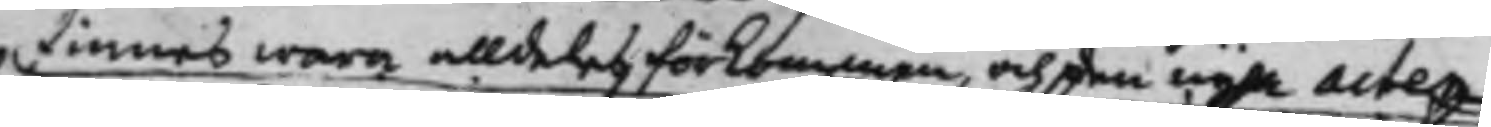finnes wara alldeles förkommen, och den nya acten
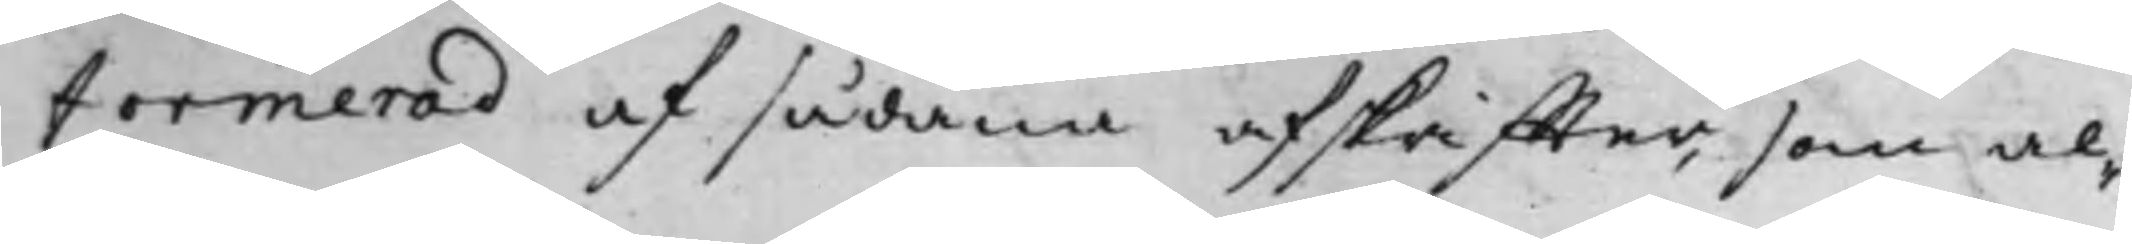formerad af sådana afskriffter, som al¬
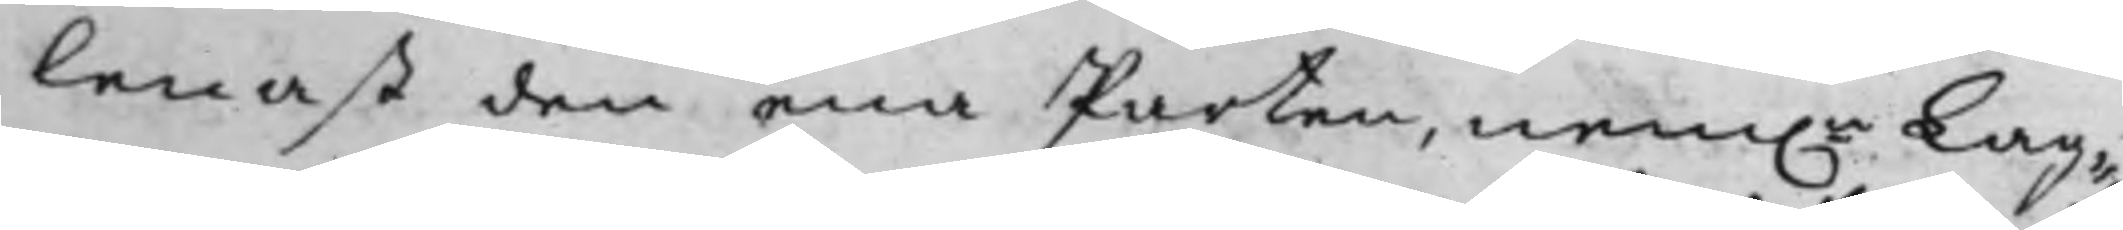lenast den ena Parten, nem.n Lag¬
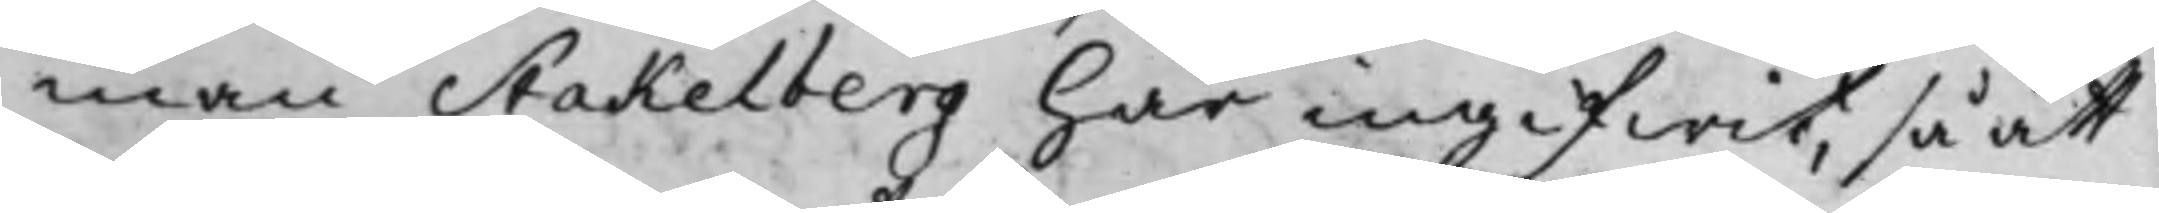man Stakelberg Här ingifwit, så att
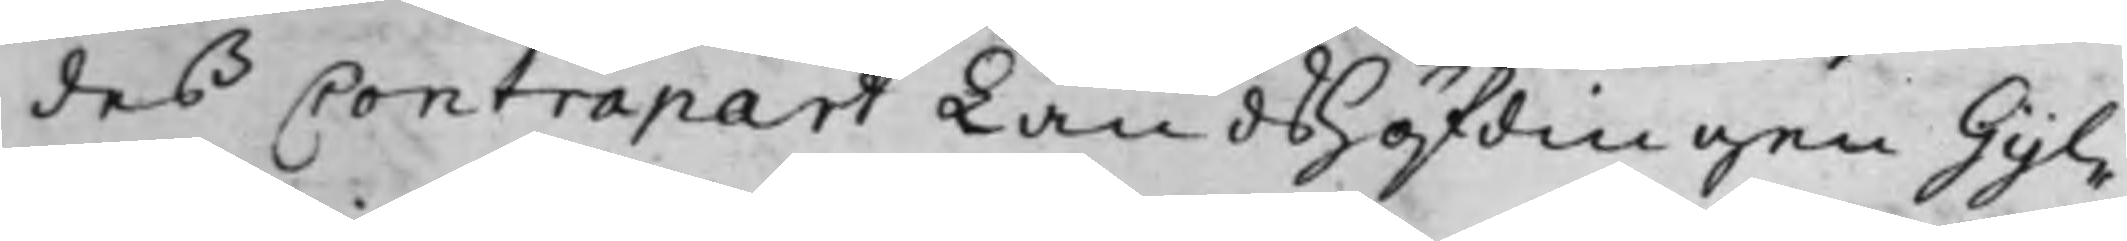des Contrapart Landshöfdingen Gyl¬
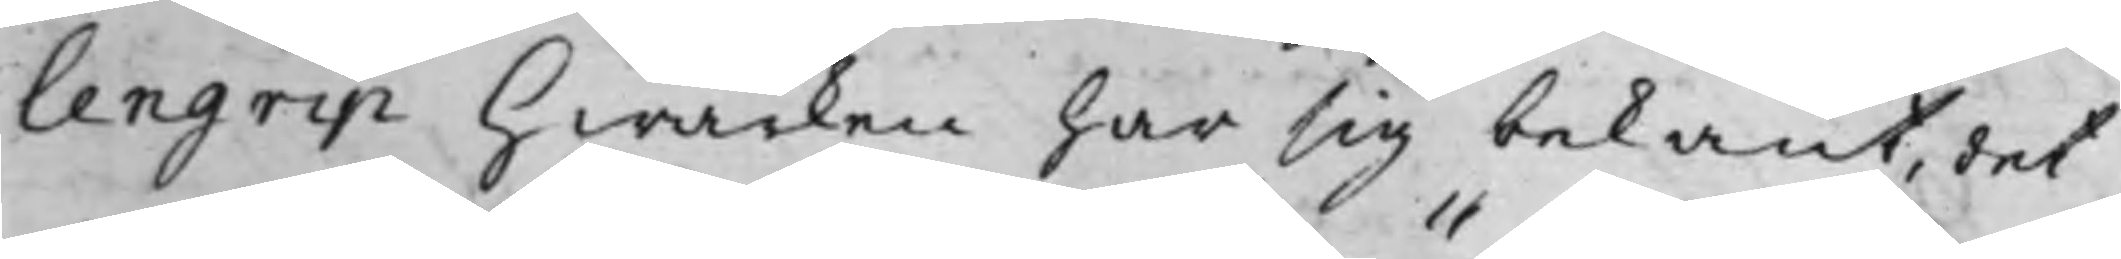lengrip Hwarken har sig bekant, det
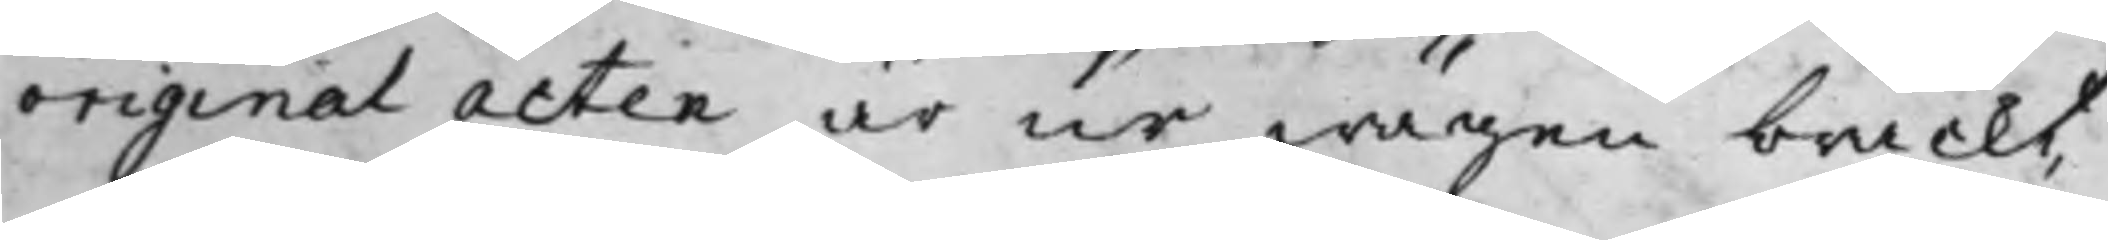originalacten är ur wägen brackt,
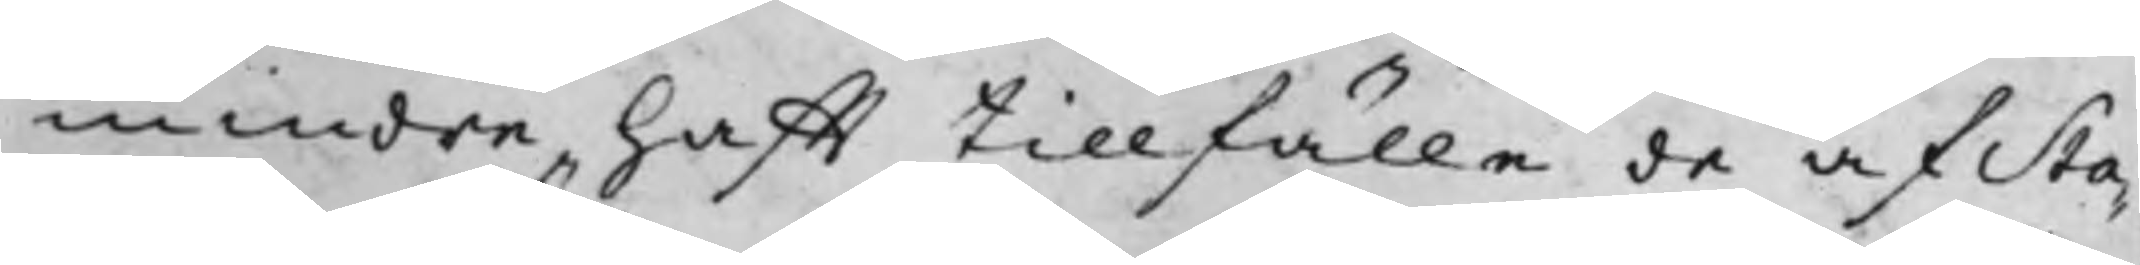mindre hafft tillfälle de af Sta¬
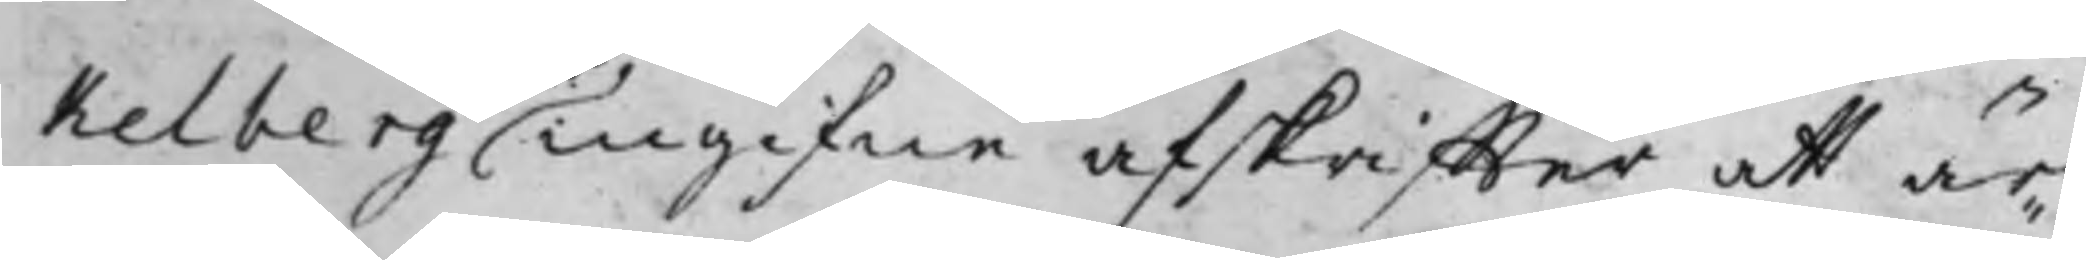kelberg ingifne afskriffter att är¬
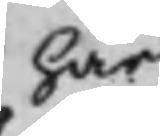här
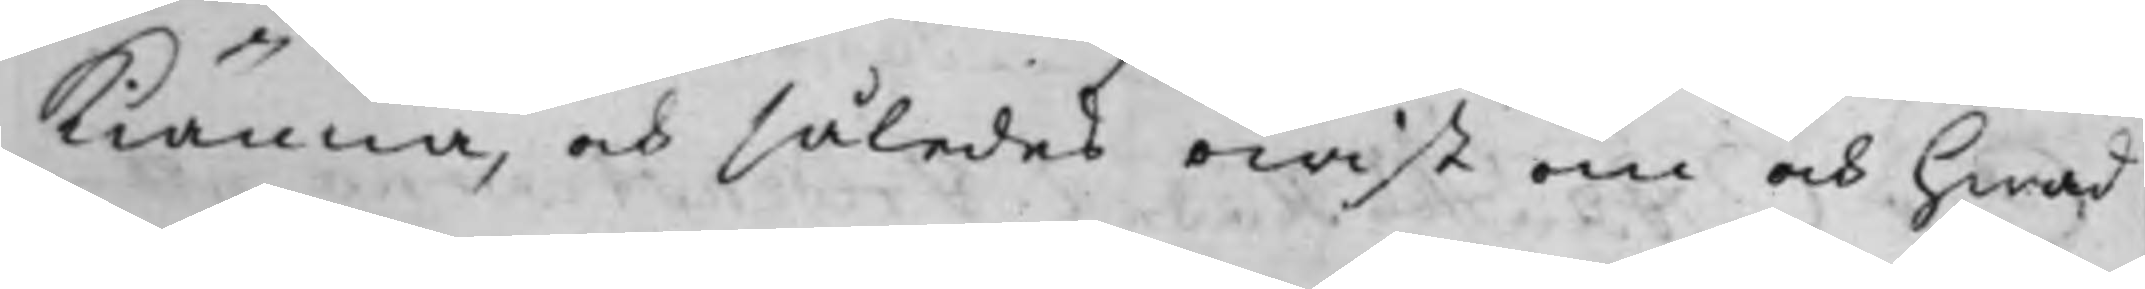kiänna, och således owist om och hwad
